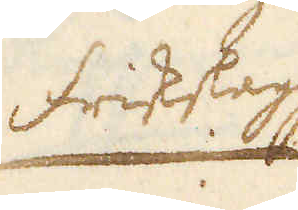friskbly
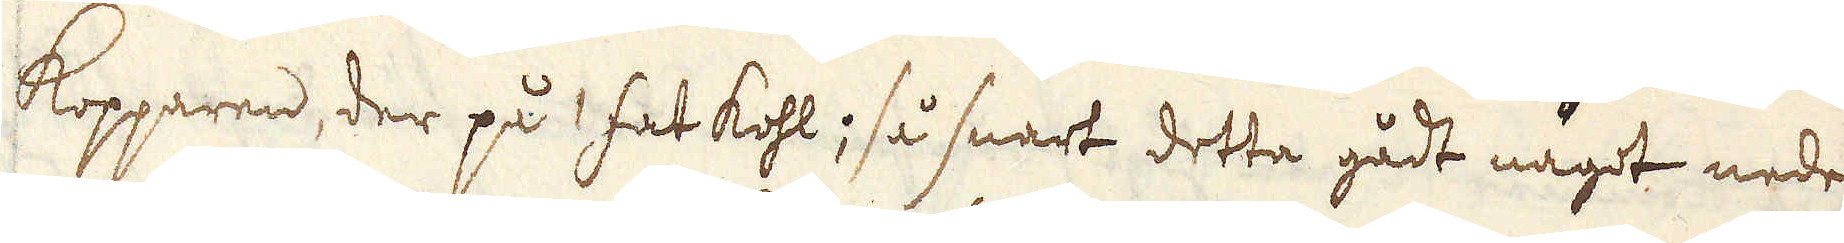kopparen, der på hat kohl; så snart detta gådt något nede
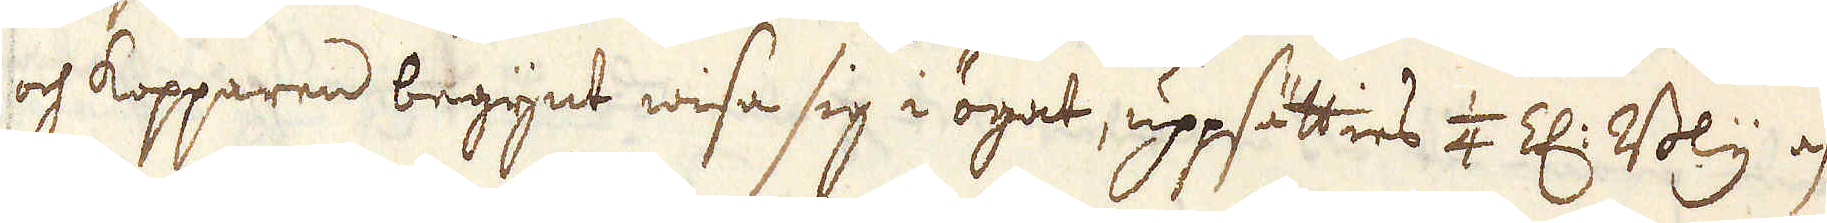och kopparen begynt wisa sig i ögat, uppsätties 1/4 Z:r Bly a
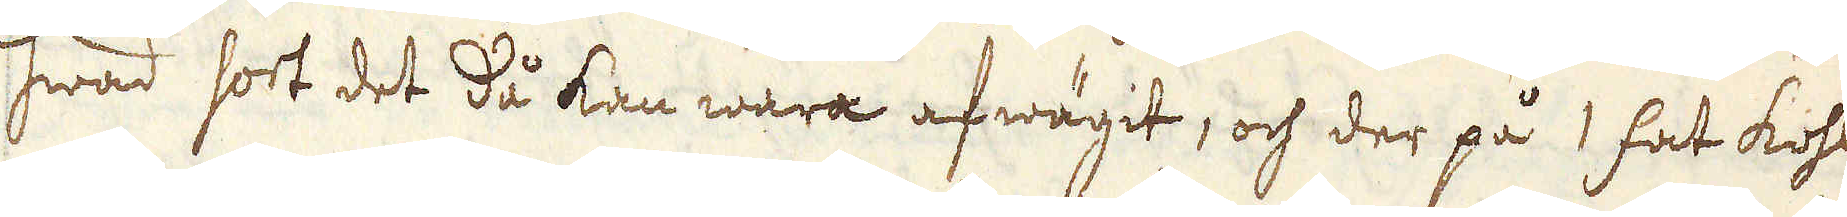swad sot det då kan wara afwägit, och der på 1 fat koh
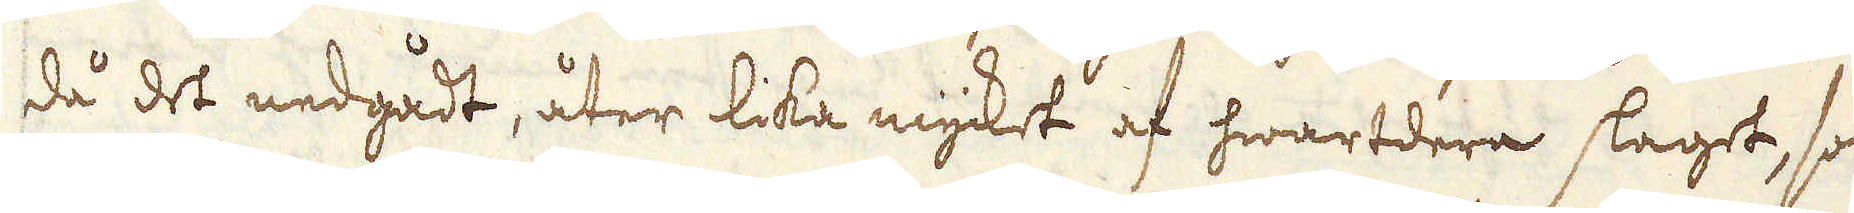då det nedgådt, åter lika mycket af hwartdera slaget, så
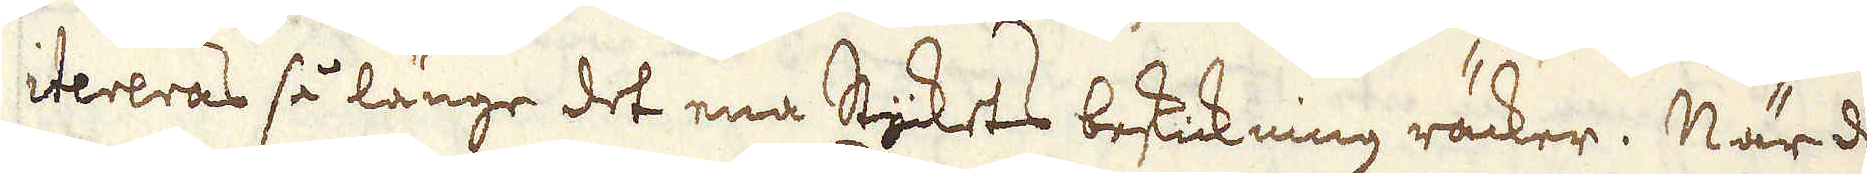itereras så länge det ena Stykets besickning räcker. Närd
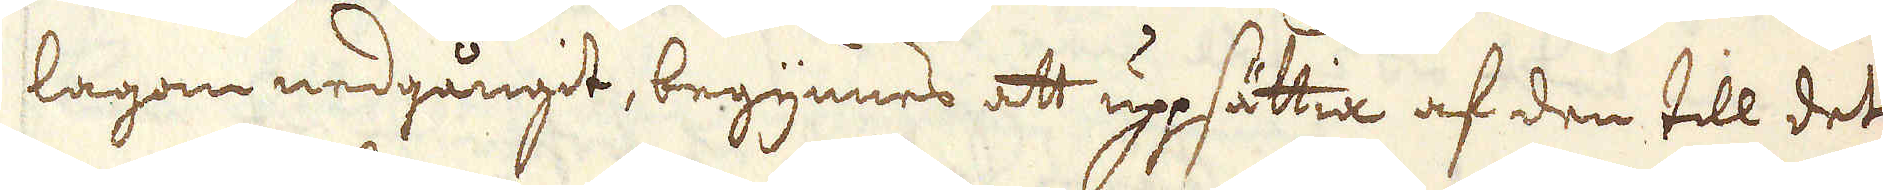lagon nedgångdt, begynnes att uppsättia af den till det
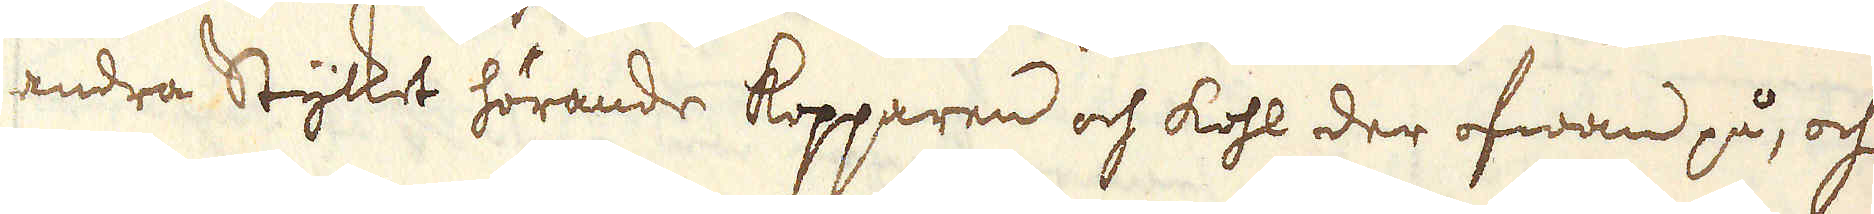andra Stycket hörande kopparen och kohl der ofwan på, och
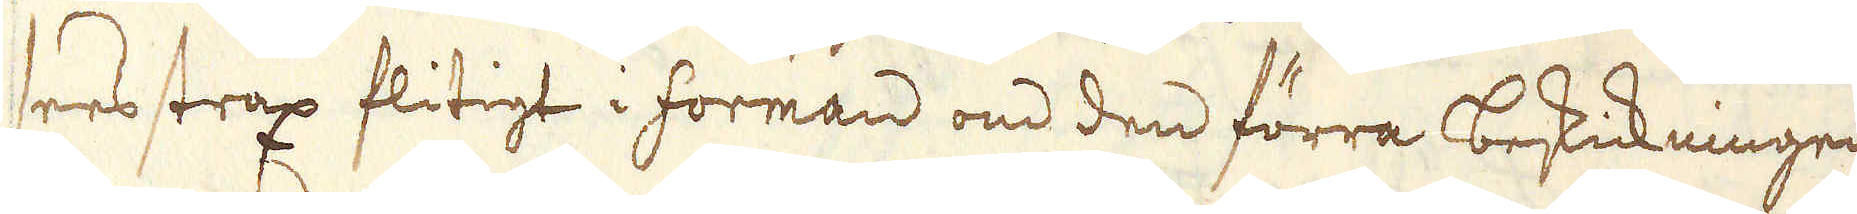sees strax flitigt i forman om den förra beskickningen
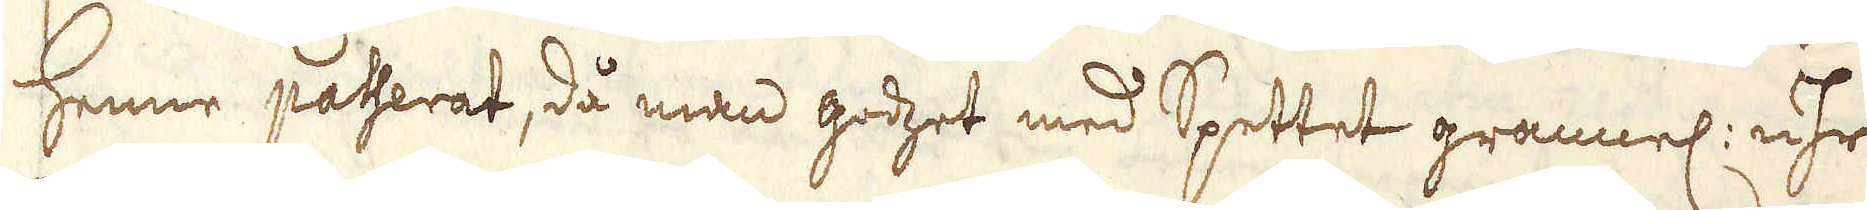henne passerat, då man godzet med Spettet grannel: uhr
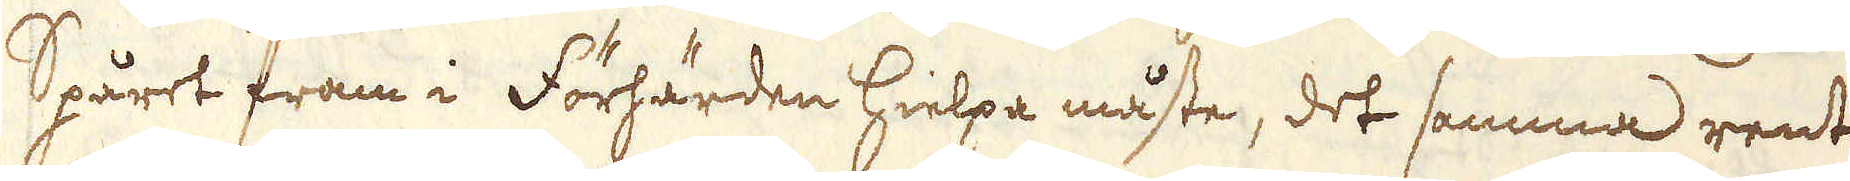Spåret fram i Förhärden hielpa måste, det samma rent
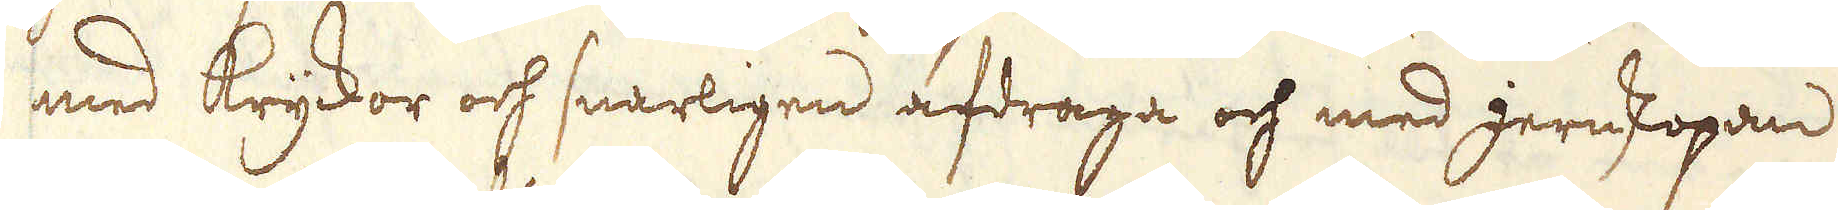med kryckor och snarligen afdraga och med jernskopan
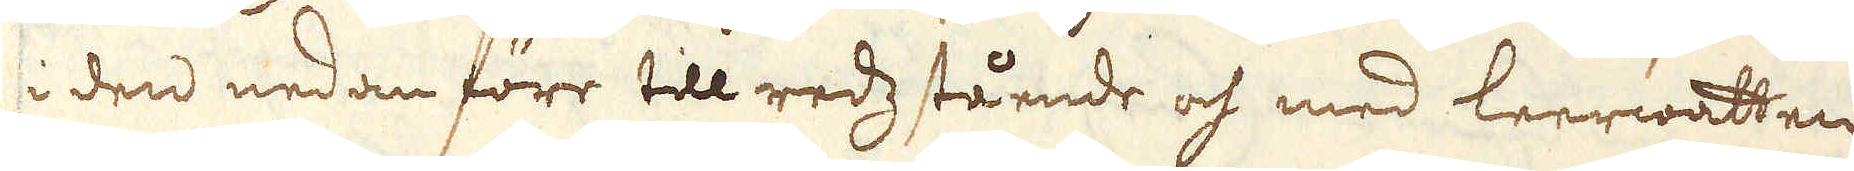i den nedan förr till redzstående och med leerwatten
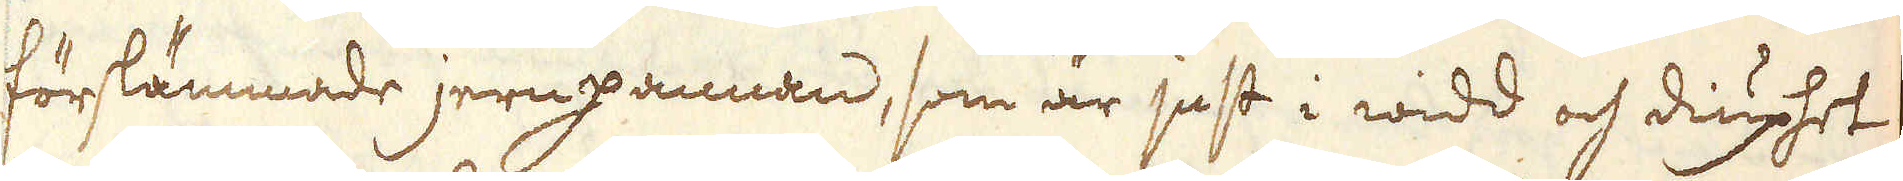förslämmade jernpannan, som är just i widd och diuphet
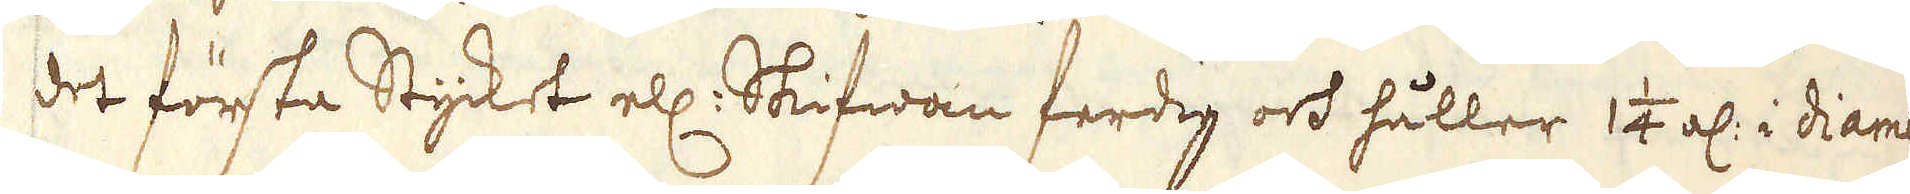det första Stycket ell: Skifwan ferdig och håller 1 1/4 al: i diame-
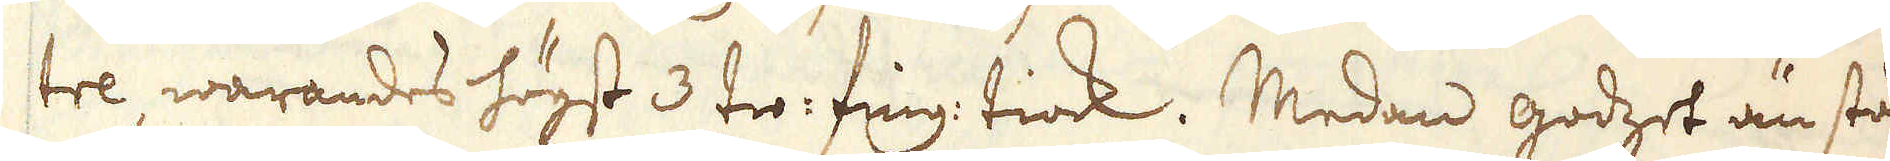tre, warandes högst 3 tio: fing: tiock. Medan godset än står
